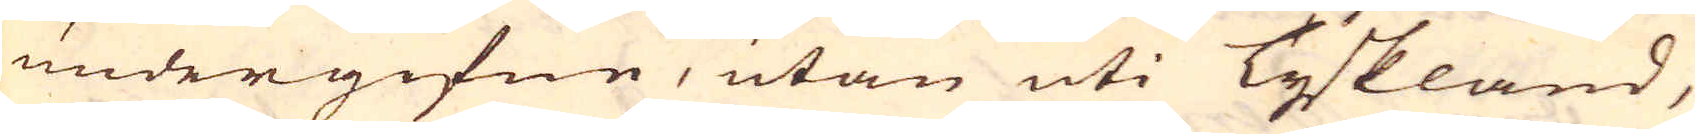undergifne, utan uti Tyskland,
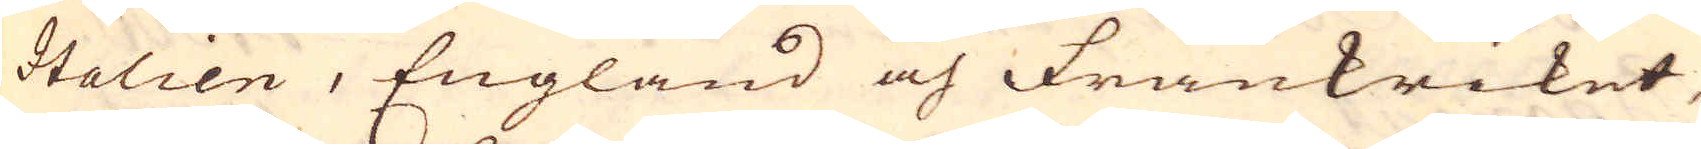Italien, England och Frankriket,
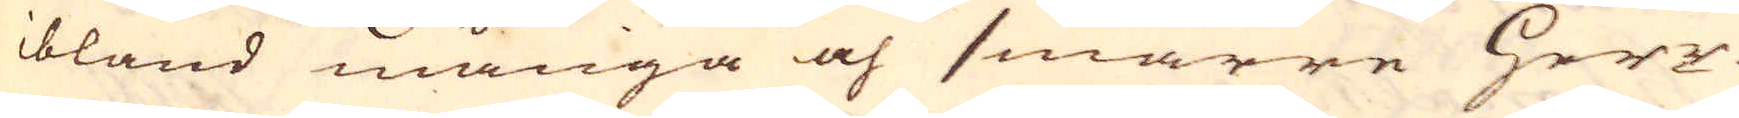ibland många och smärre Herr-
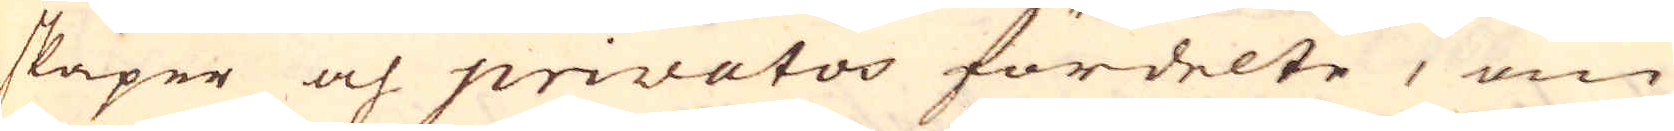skaper och privatoo fördelte, om
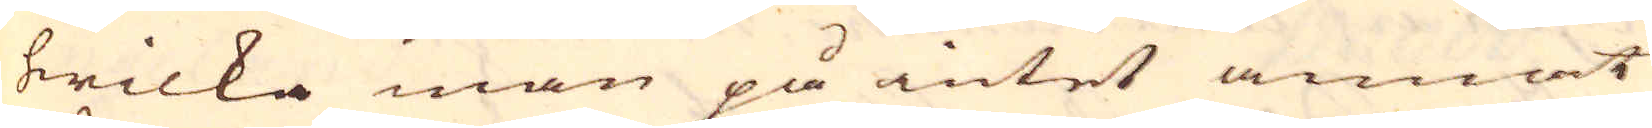hwilka man på intet annat
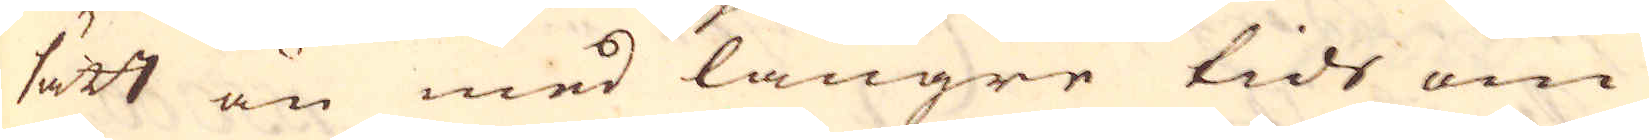sätt än med längre tids om-
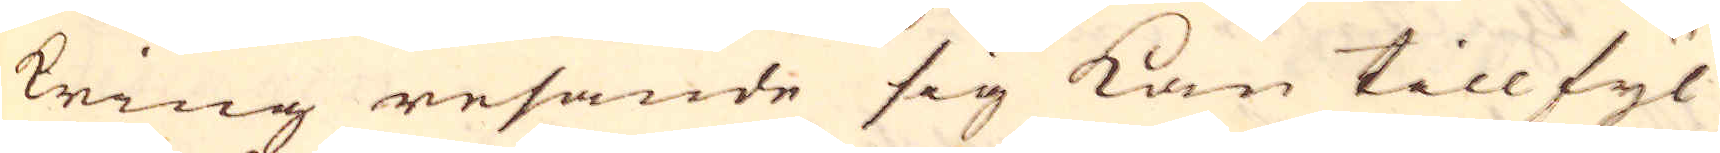kring resande sig kan tillfyl-
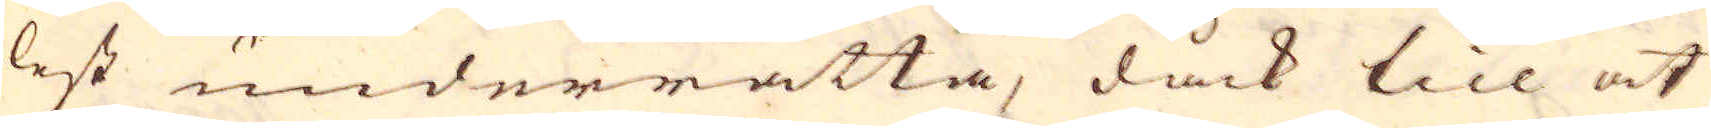lest underrätta, dåck till at
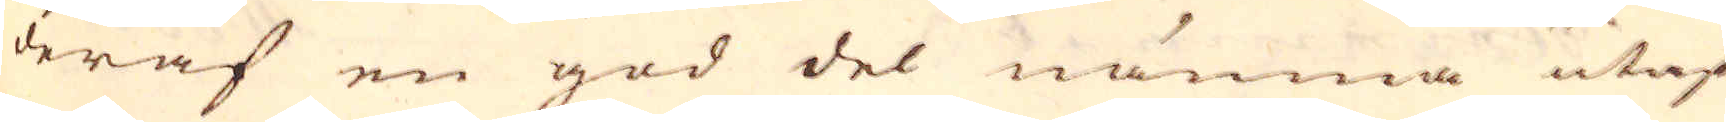deraf en god del nämna utaf
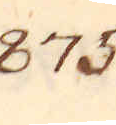875.
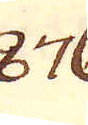876.
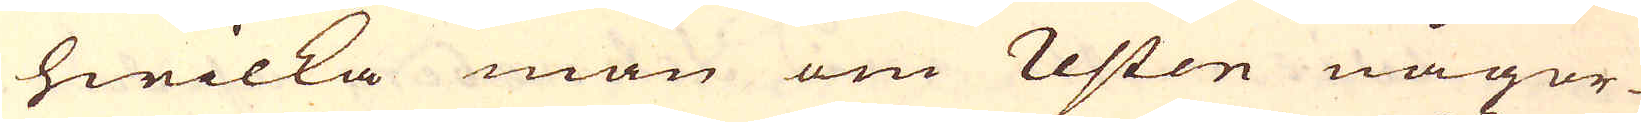hwilka man om resten någor-
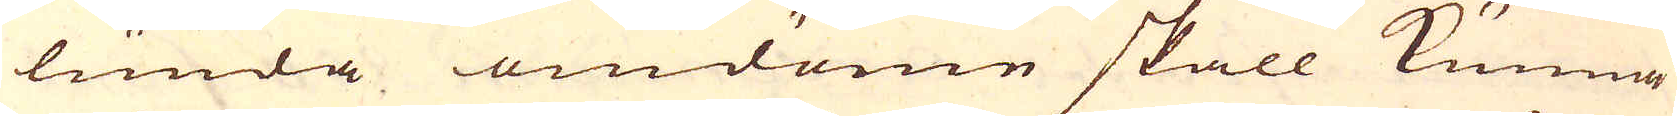lunda omdöme skall kunna
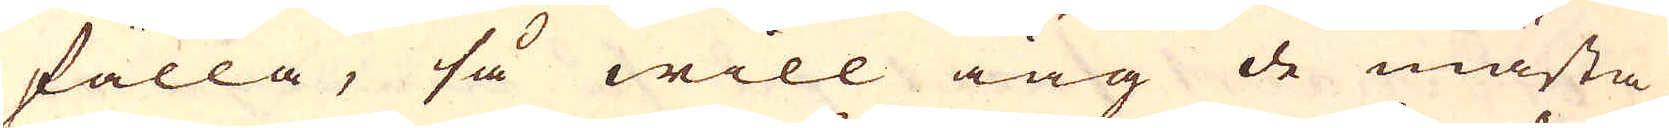fälla, så will iag de mästa
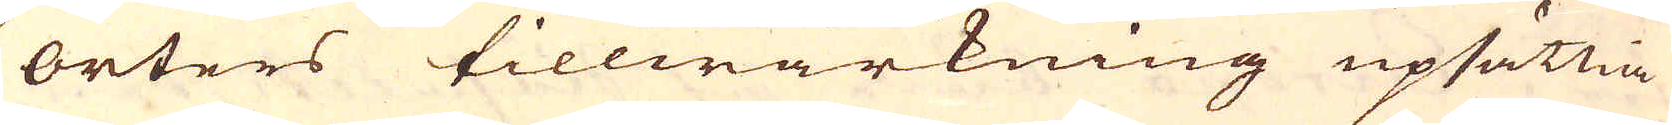orters tillwärkning upsättia
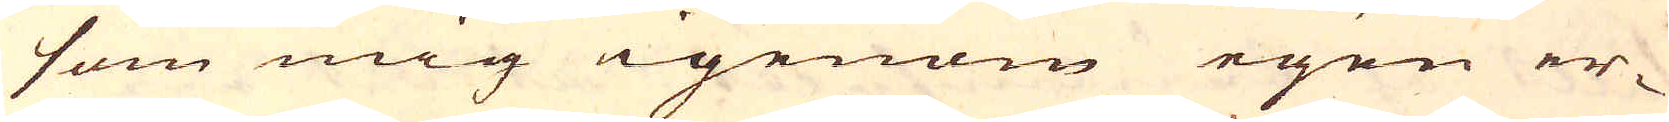som mig igenom egen er-
